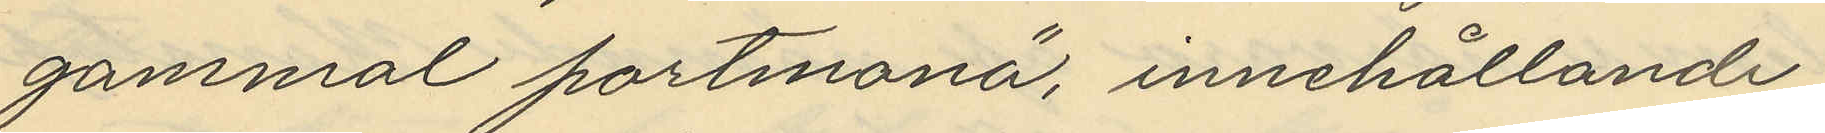gammal portmonä, innehållande
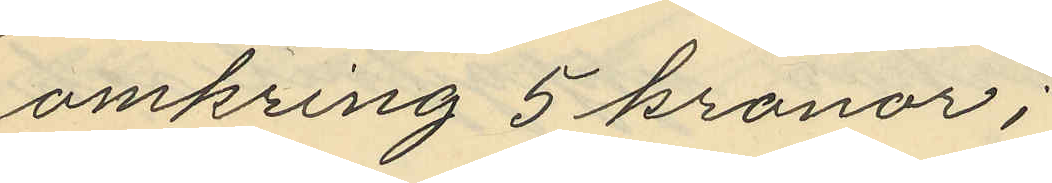omkring 5 kronor;
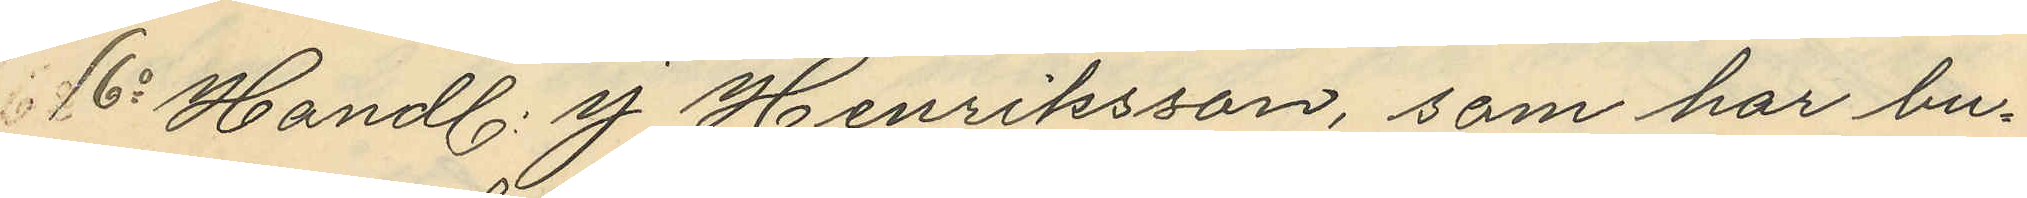6o Handl. J. Henriksson, som har bu¬
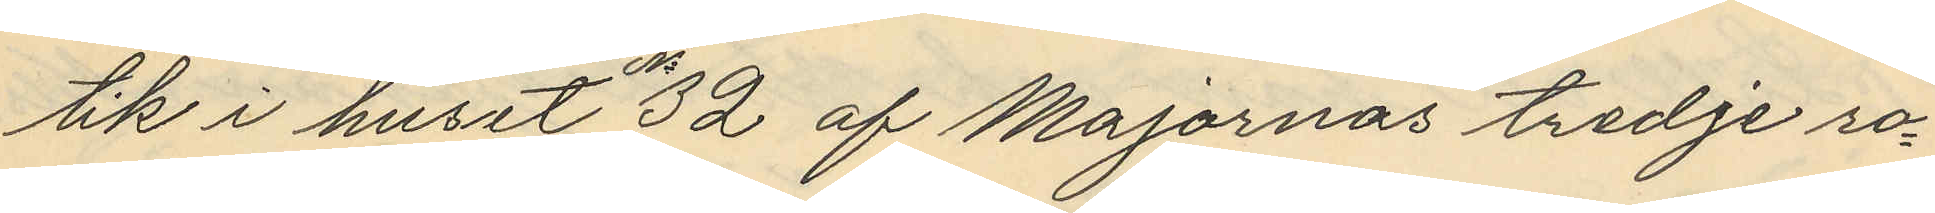tik i huset 32 af Majornas tredje ro¬
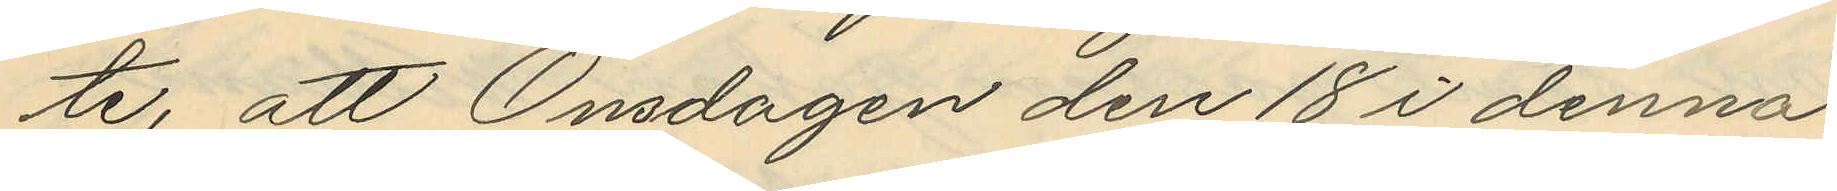te, att Onsdagen den 18 i denna
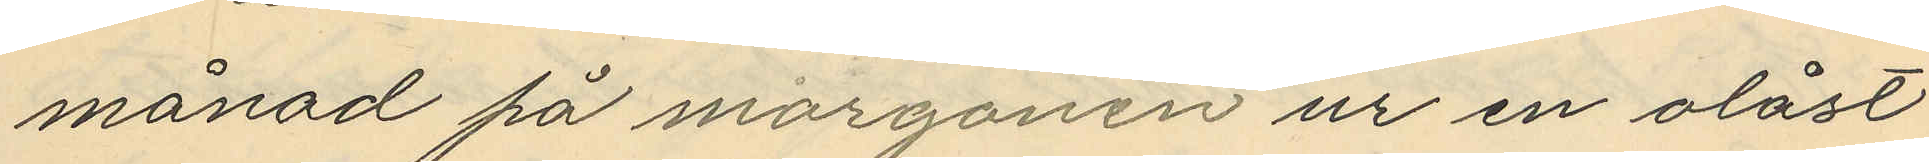månad på morgonen ur en olåst
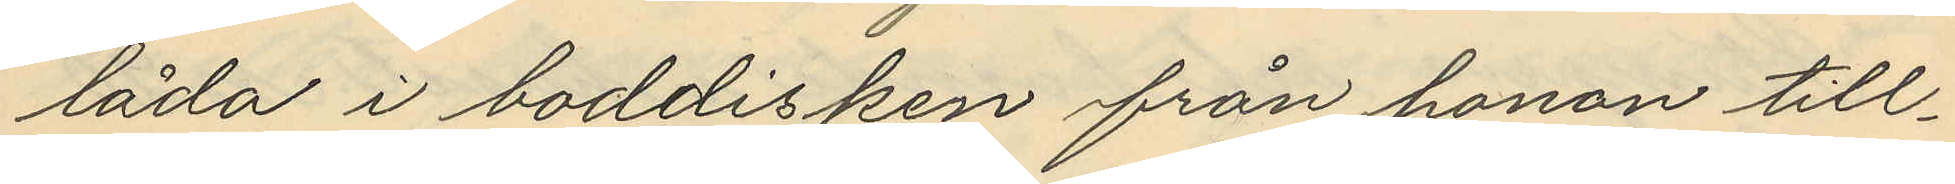låda i boddisken från honon till¬
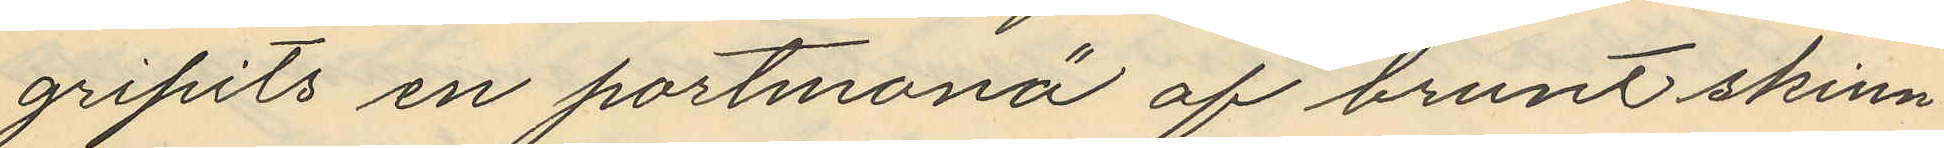gripits en portmonä af brunt skinn¬
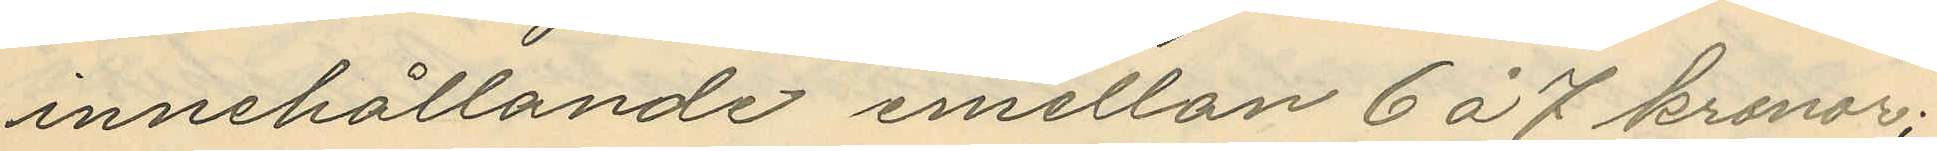innehållande emellan 6 á 7 kronor;
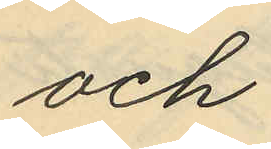och
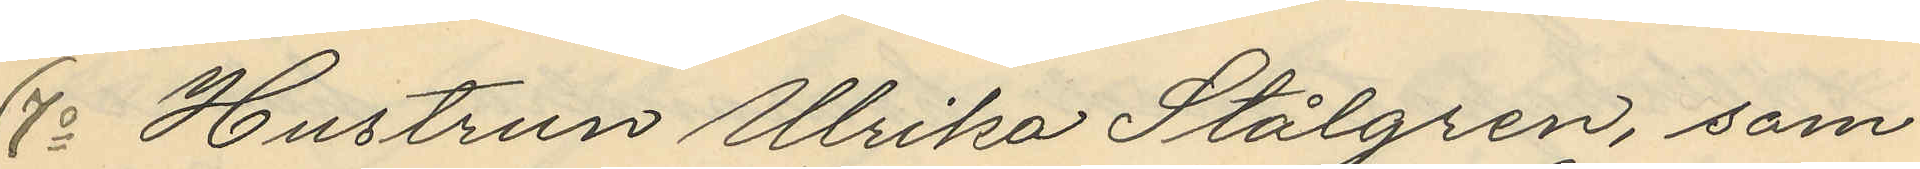7o Hustrun Ulrika Stålgren, som
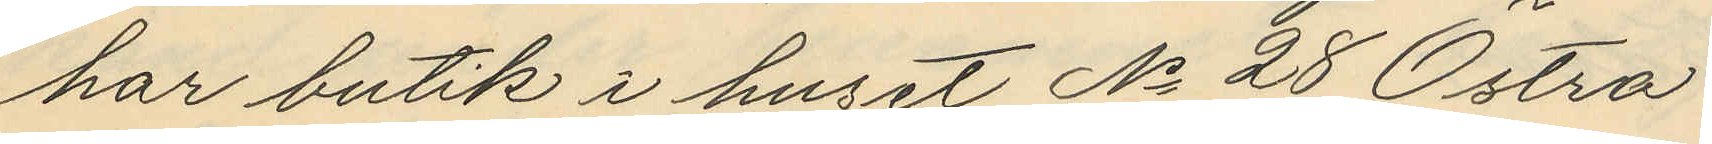har butik i huset No 28 Östra
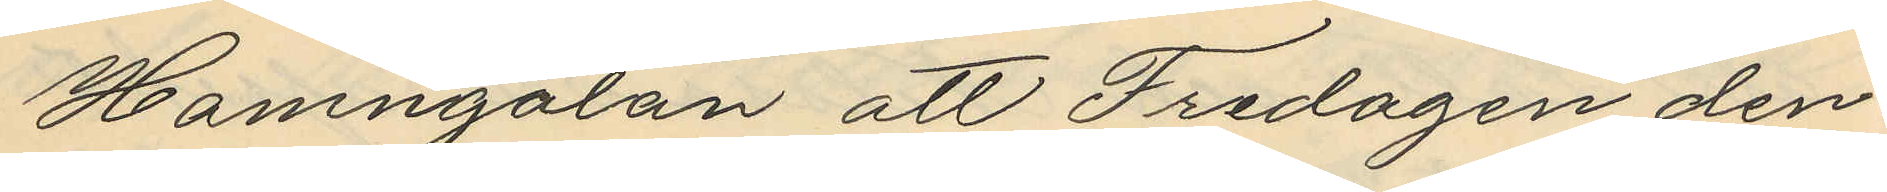Hamngatan att Fredagen den
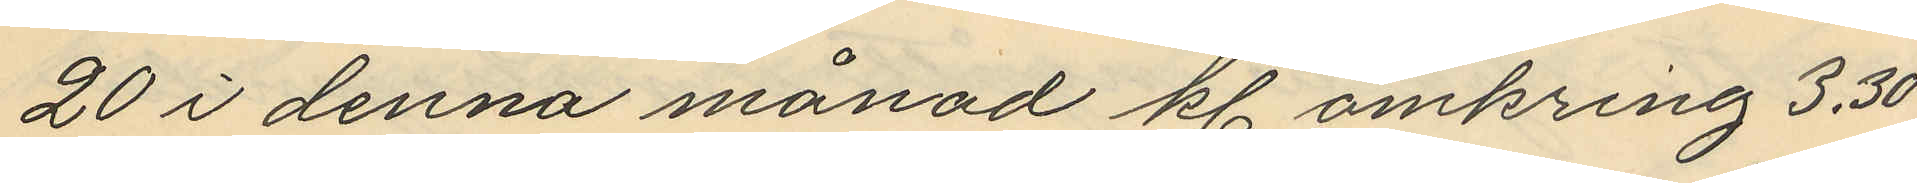20 i denna månad kl. omkring 3,30
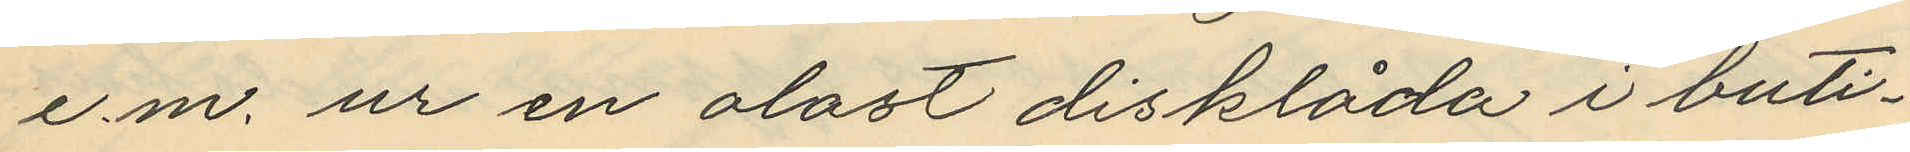e.m. ur en olåst disklåda i buti¬
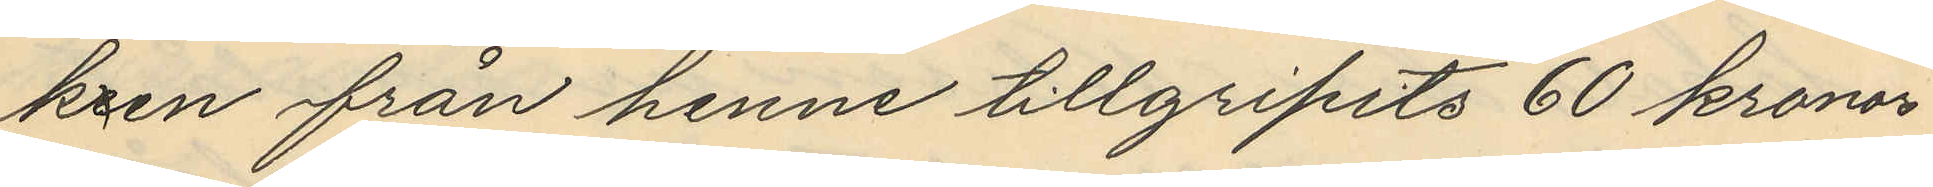kren från henne tillgripits 60 kronor
